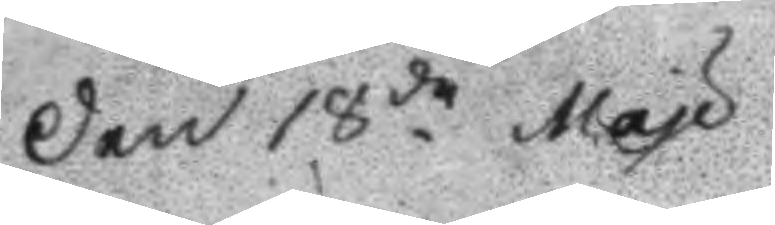Den 18de May
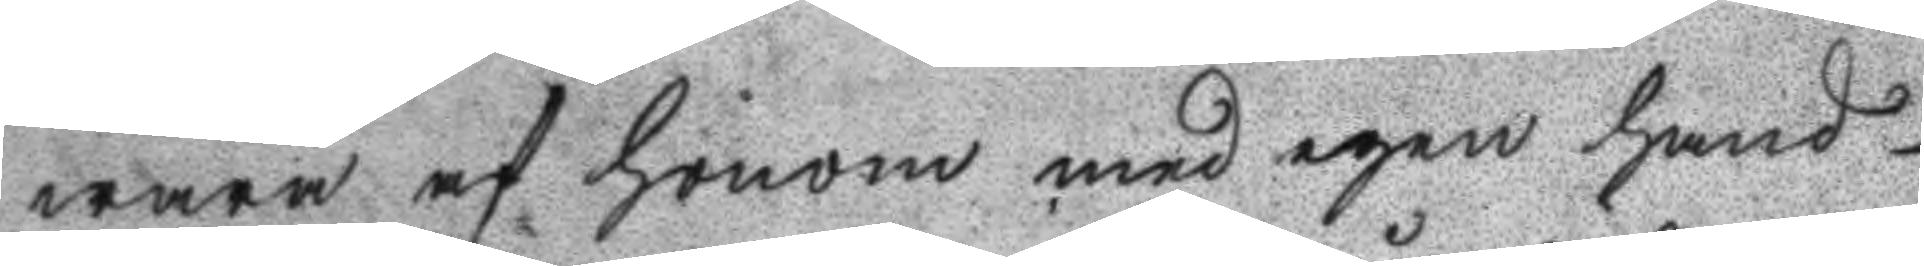wara af honom med egen hand
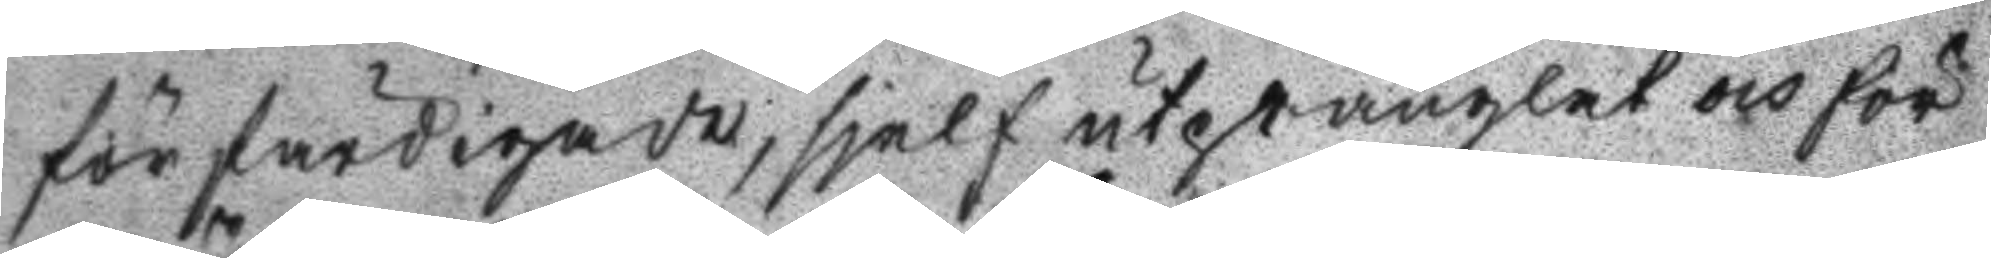förfärdigade, sjelf utprånglat och för
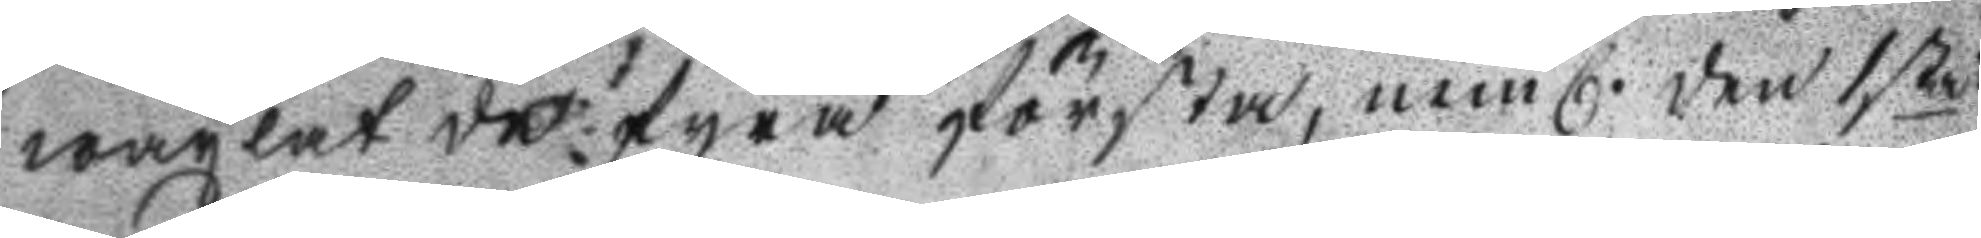wäxlat de fyra första, neml. den 1sta
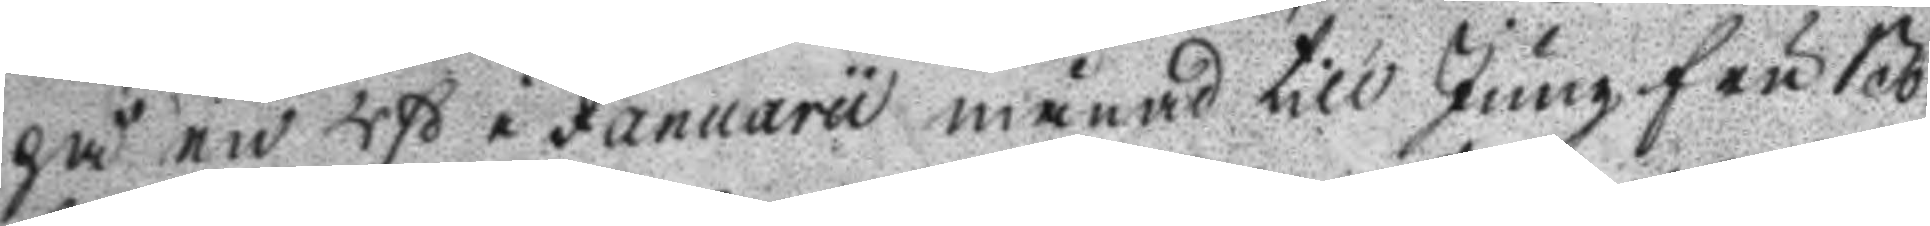på en 4ß i Januaru månad till Jungfru Bo¬
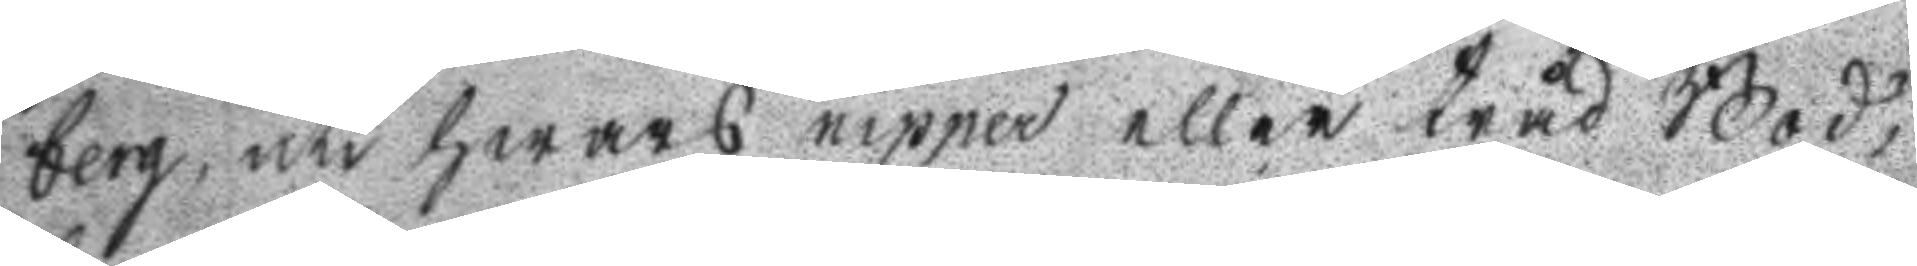berg, uti hwars nipper eller tråd Bod,
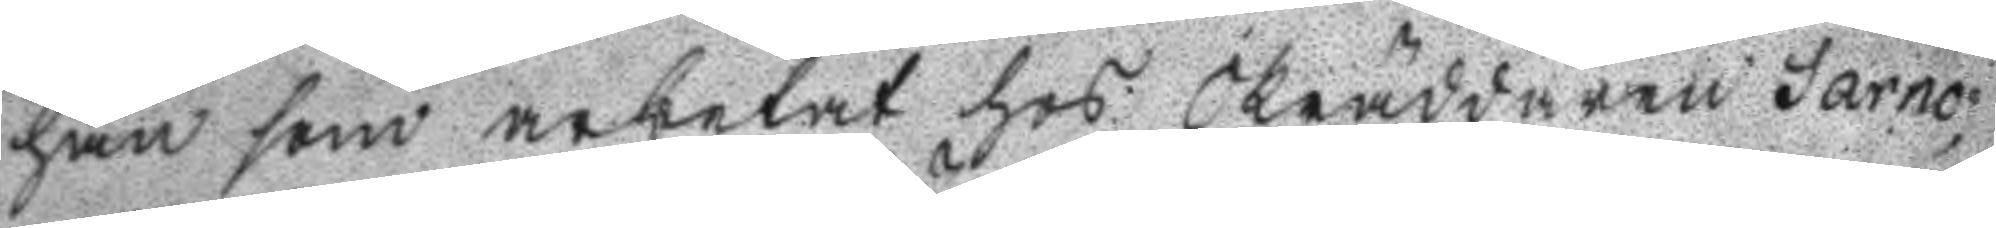han som arbetat hos Skräddaren Sarno
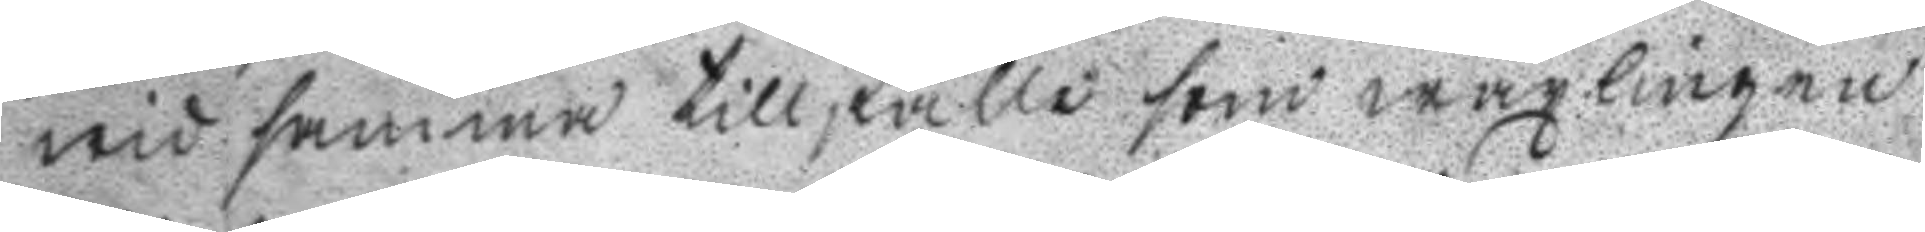wid samma tillfälle som wäxlingen
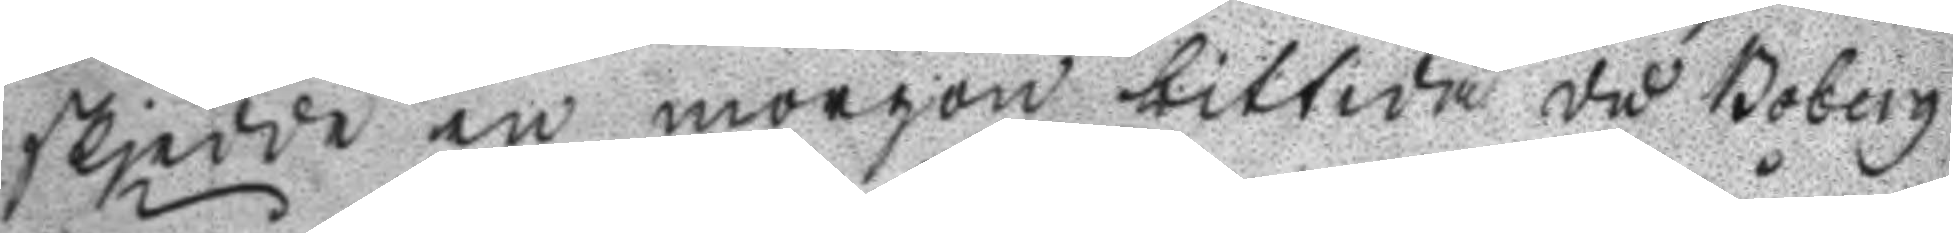skjedde en morgon bittida då Boberg
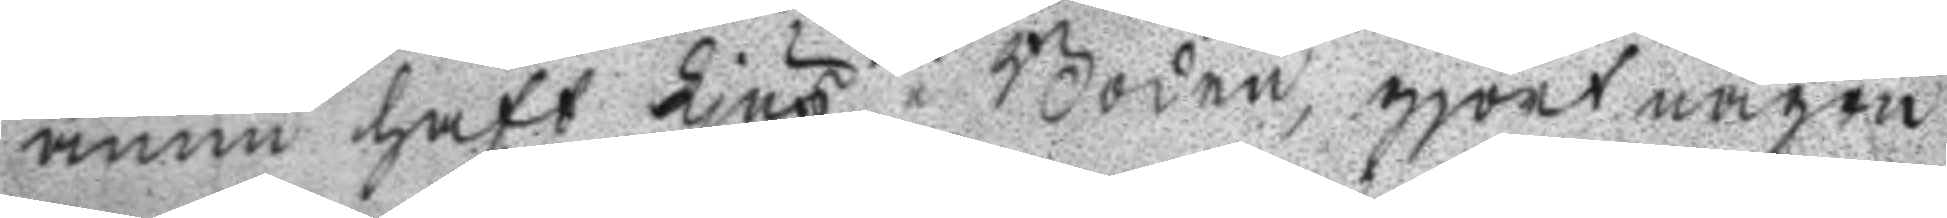ännu haft Ljus i Boden, gjort någon
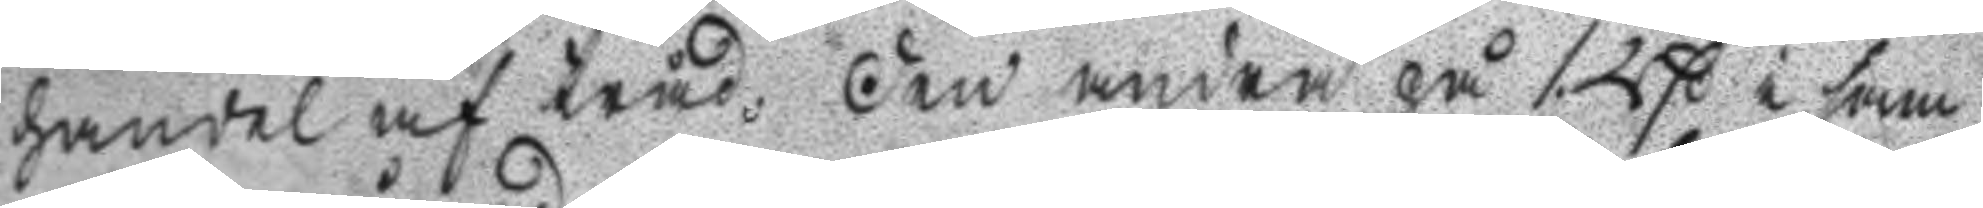handel af tråd, Den andra på 1. Rß i sam
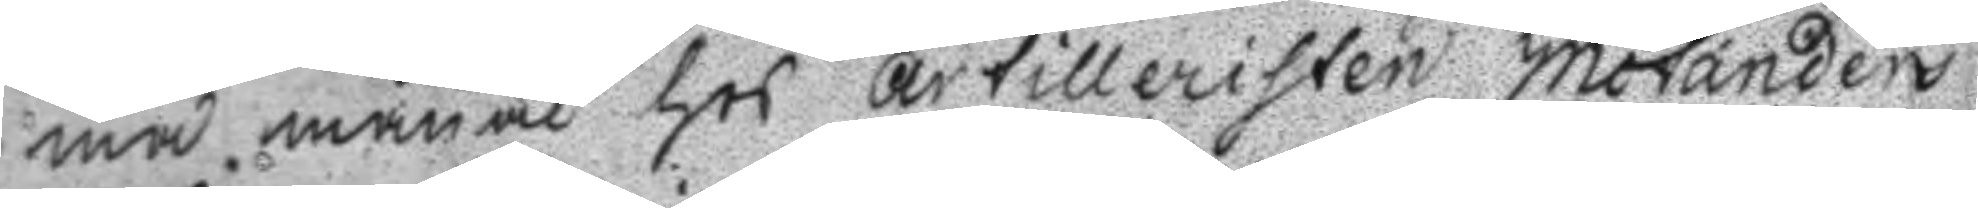ma månad hos artilleristen Motanders
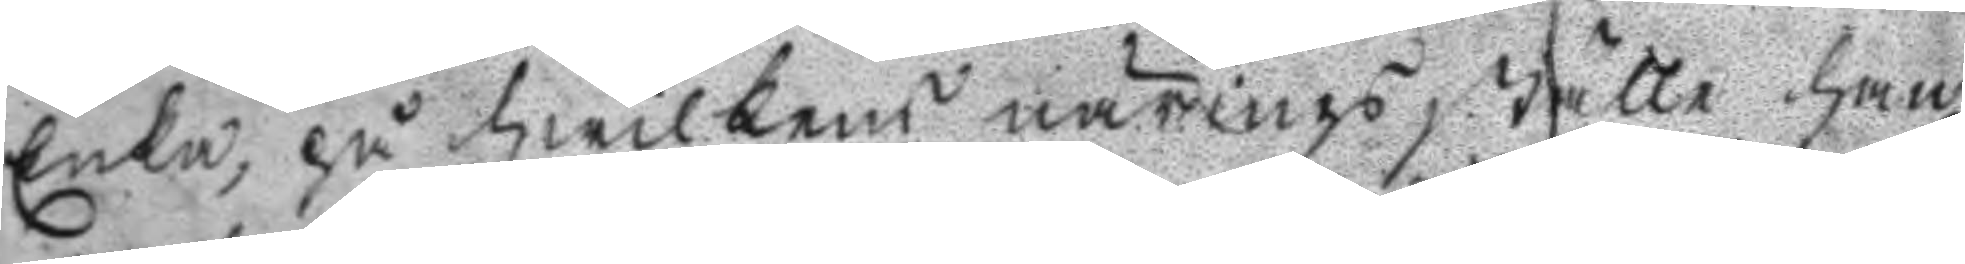Enka, på hwilkens närings ställe han
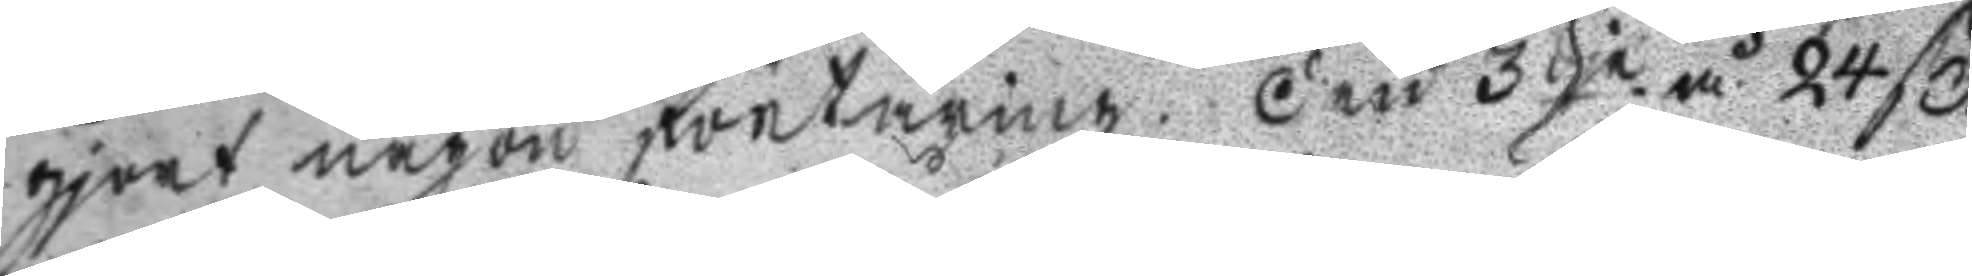gjort någon förtäring. Den 3dje å 24 ß
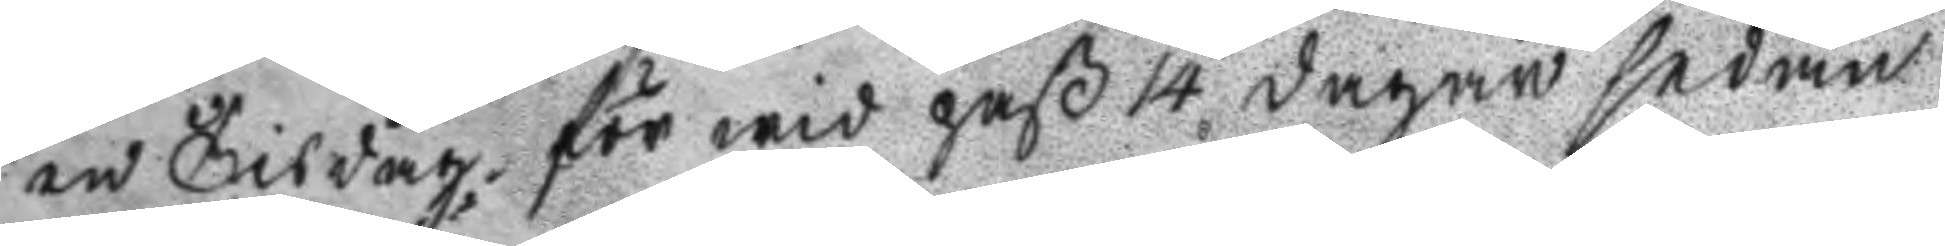en Tisdag för wid paß 14 dagar sedan
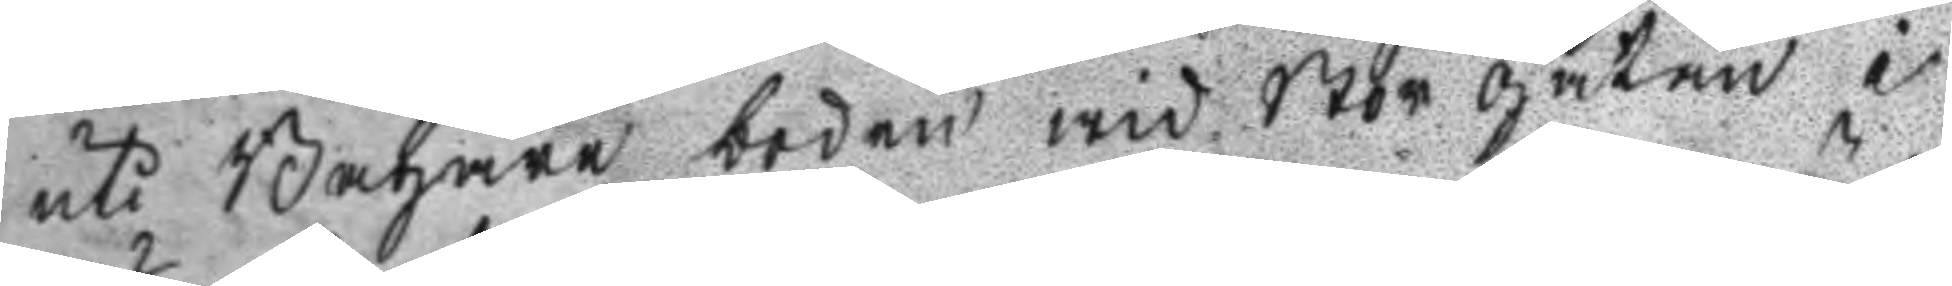uti Bagare boden wid Storgatan i
